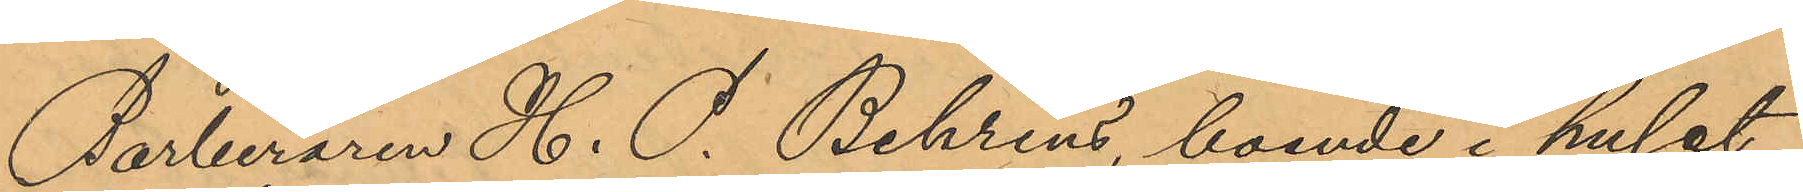Barberaren H. P. Behrens, boende i huset
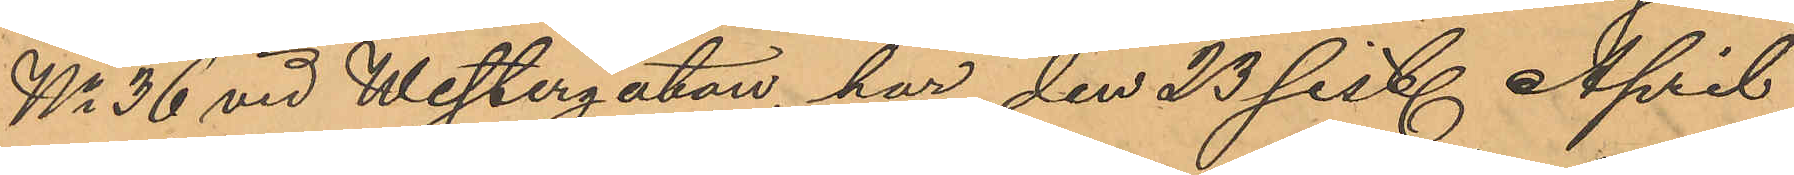No 36 vid Westergatan, har den 23 sist. April
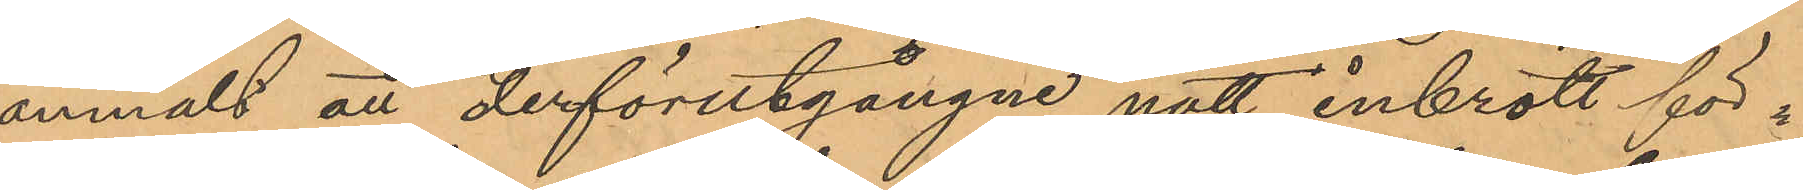anmält att derförutgångne natt inbrott för¬
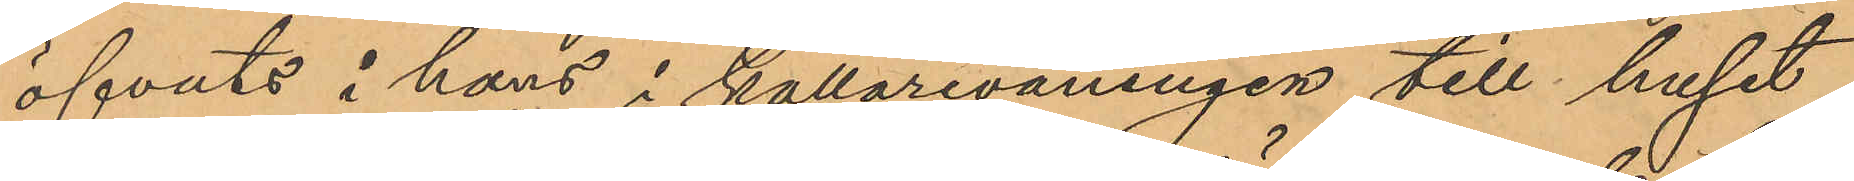öfvats i hans i källarevåningen till huset
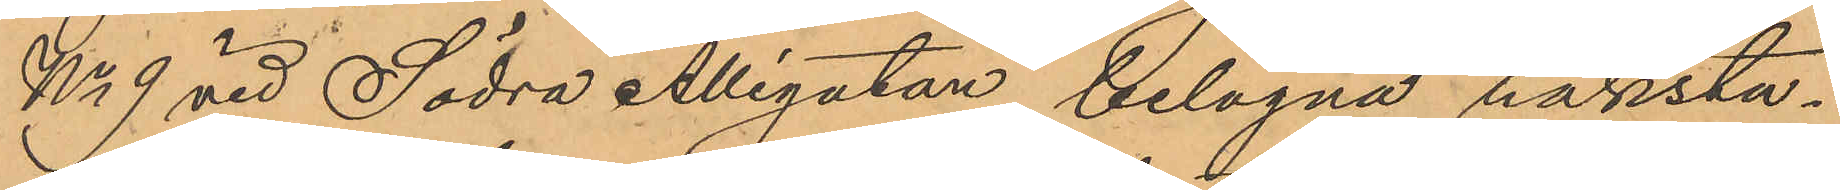No 9 vid Södra Allégatan belägna rakstu¬
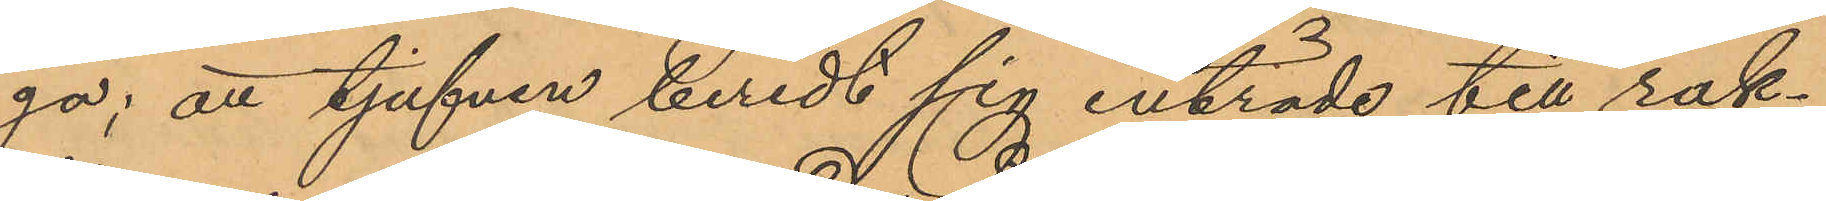ga; att tjufven beredt sig inträde till rak¬
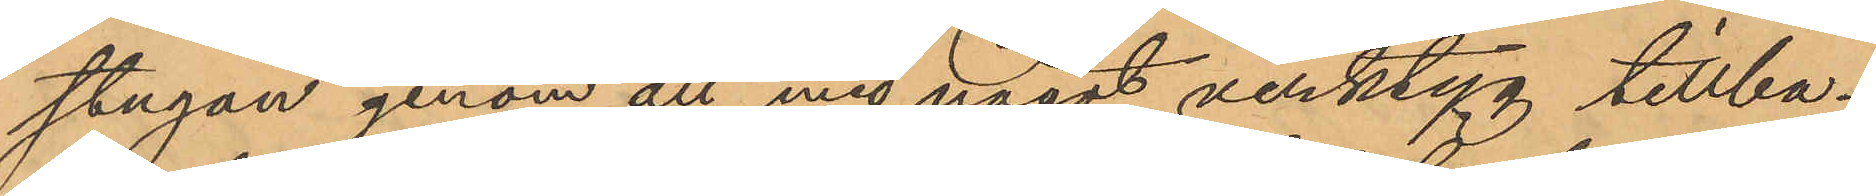stugan genom att med något verktyg tillba¬
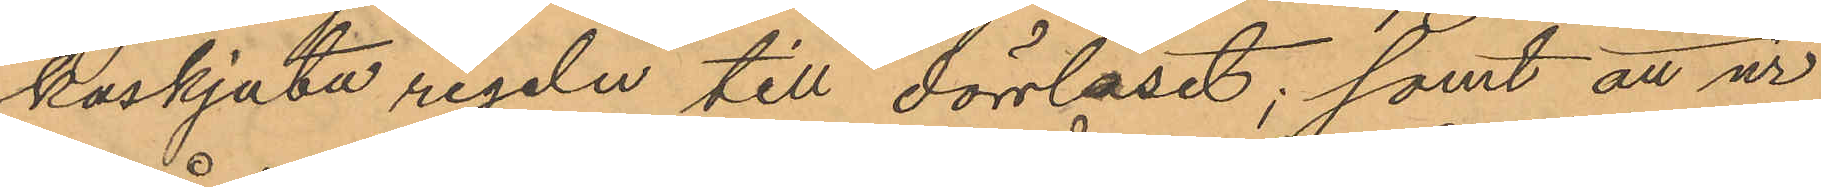kaskjuta regeln till dörrlåset; samt att ur
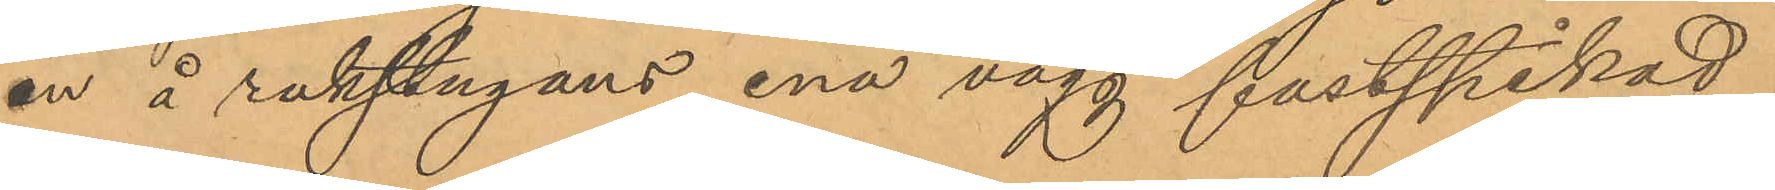en å rakstugans ena vägg fastspikad
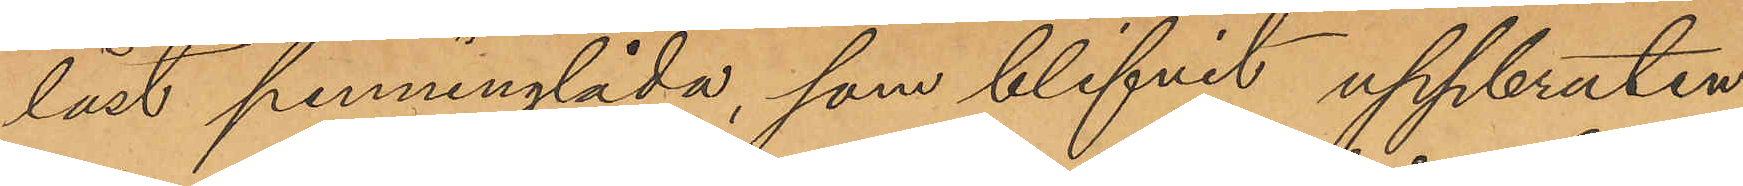låst penninglåda, som blifvit uppbruten,
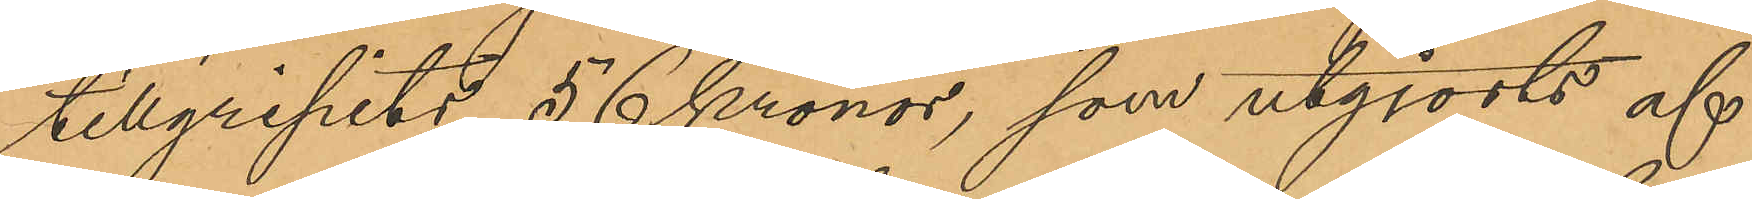tillgripits 56 Kronor, som utgjorts af
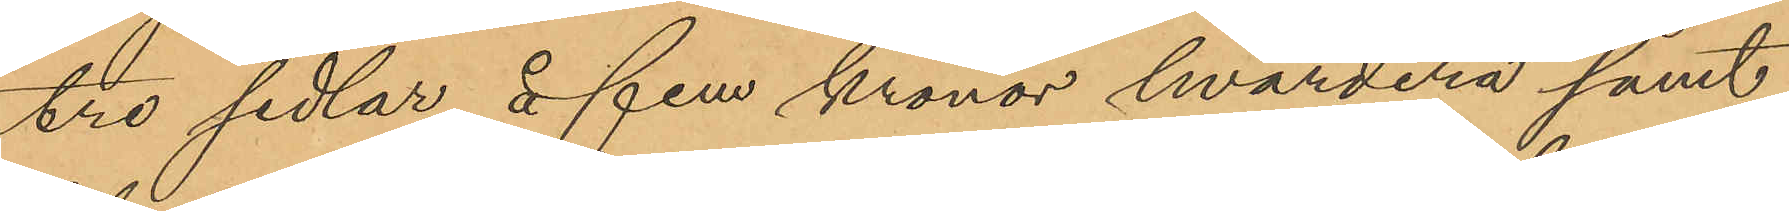tre sedlar å fem kronor hvardera samt
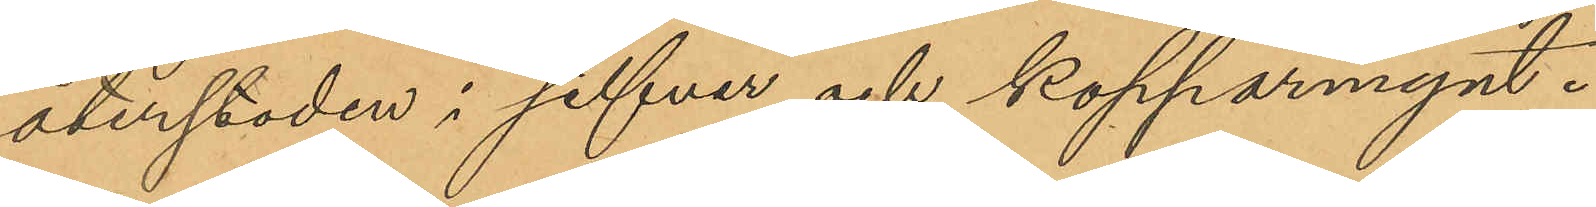återstoden i silfver och kopparmynt.
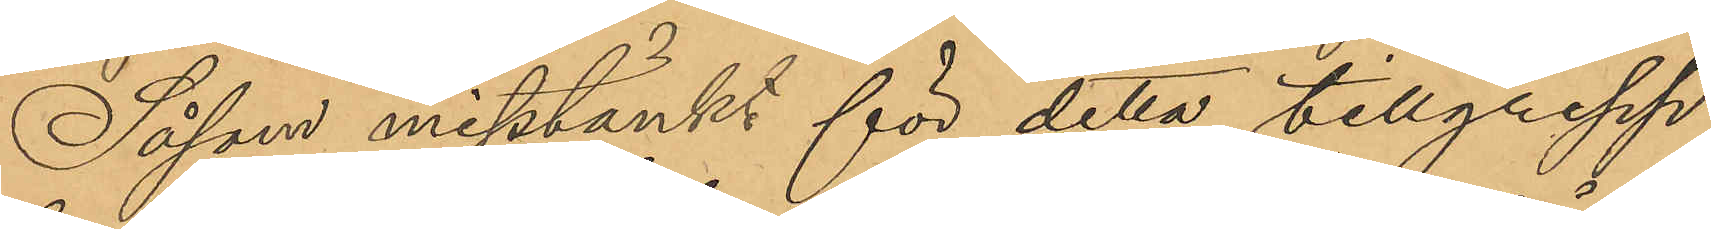Såsom misstänkt för detta tillgrepp
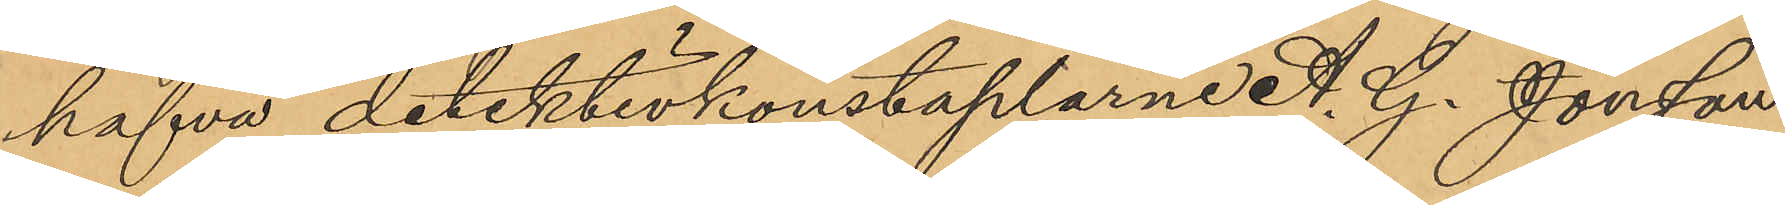hafva detektivkonstaplarne A. G. Jonsson
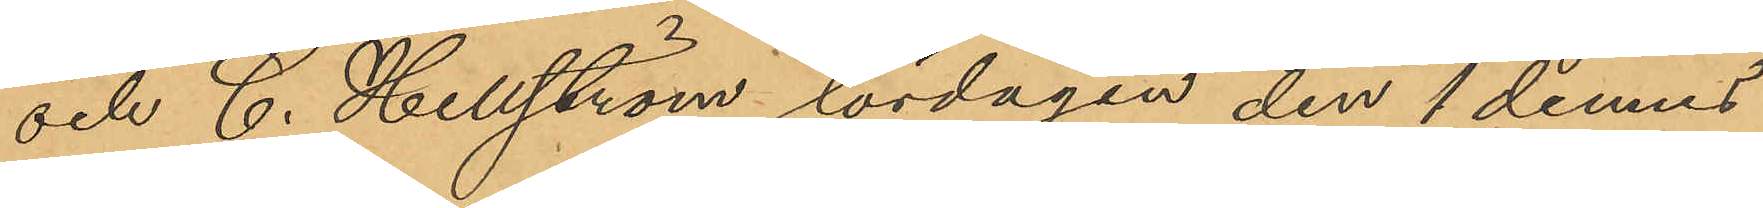och C. Hellström lördagen den 1 dennes
